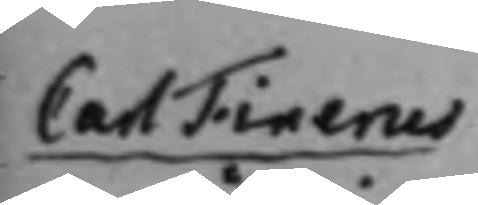Carl Finerus
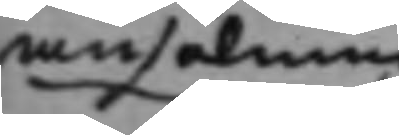ansökning
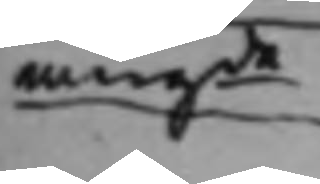angde 
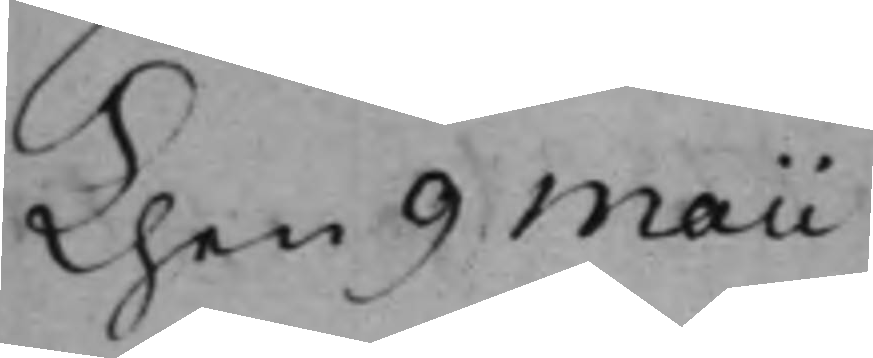Then 9 Maii
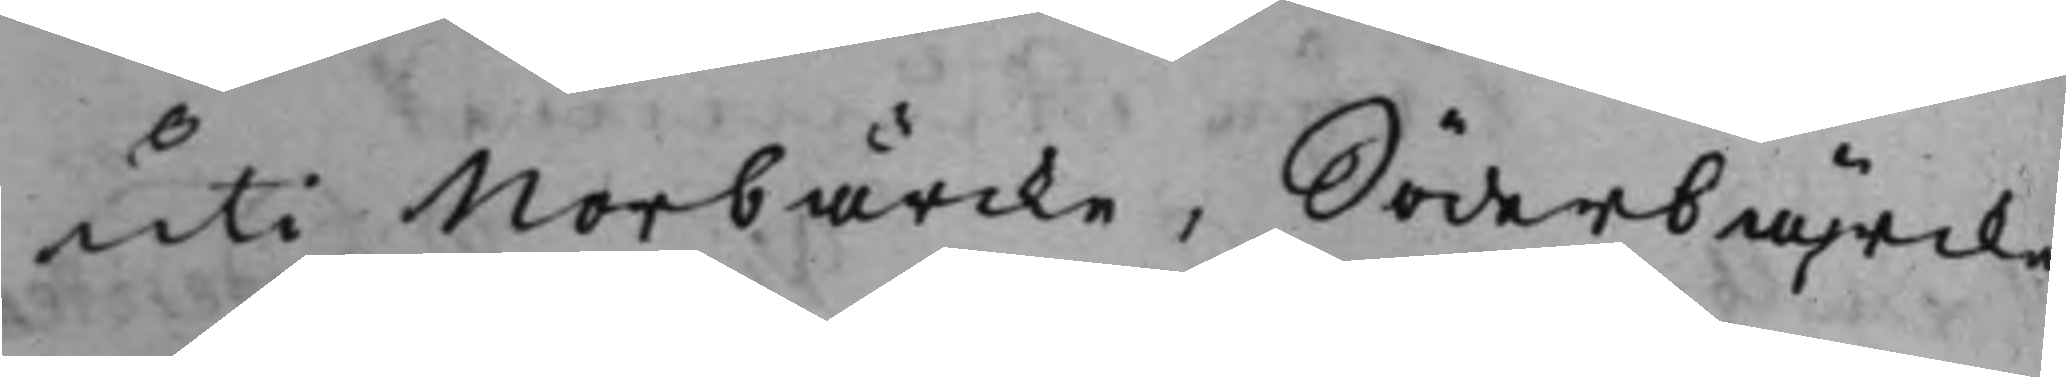uti Norbärcke, Söderbärcke
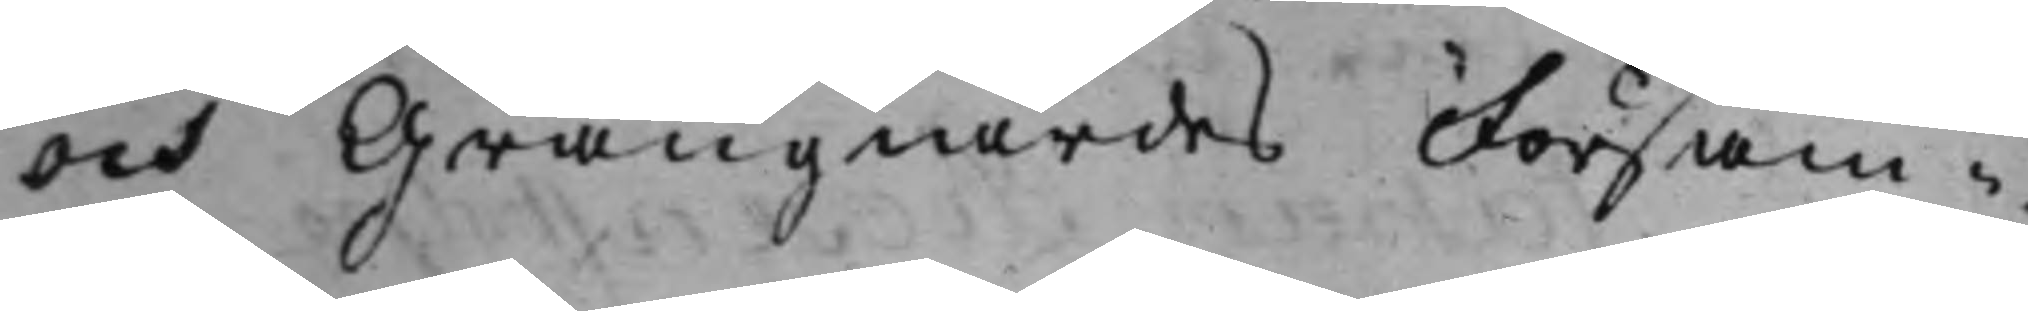och Grangiärdes Försam¬
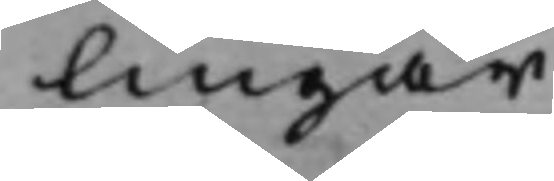lingar.
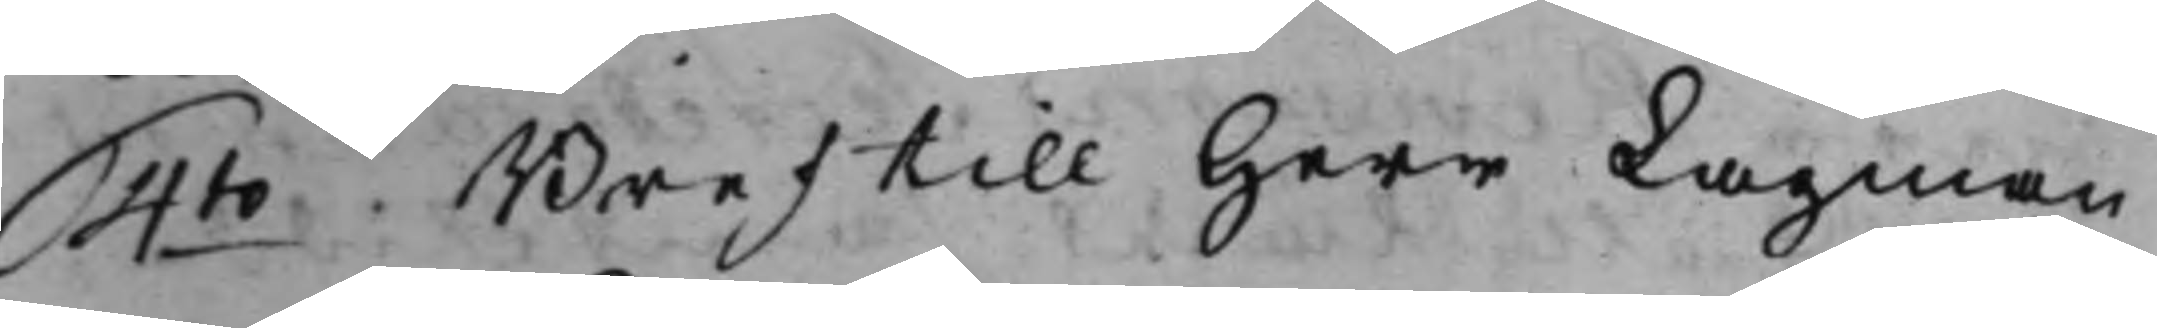4to Bref till Herr Lagman¬
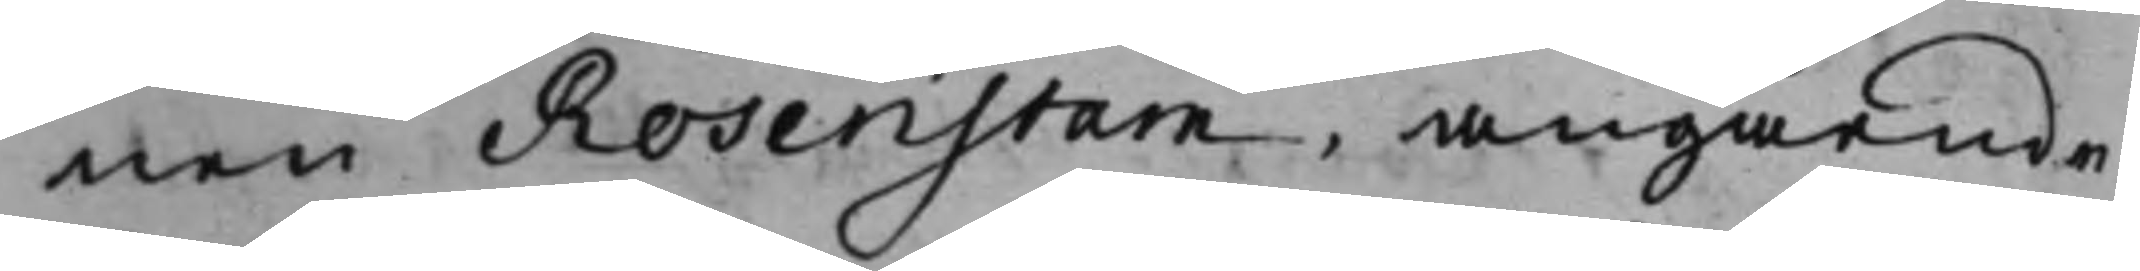nen Rosenstam, angående
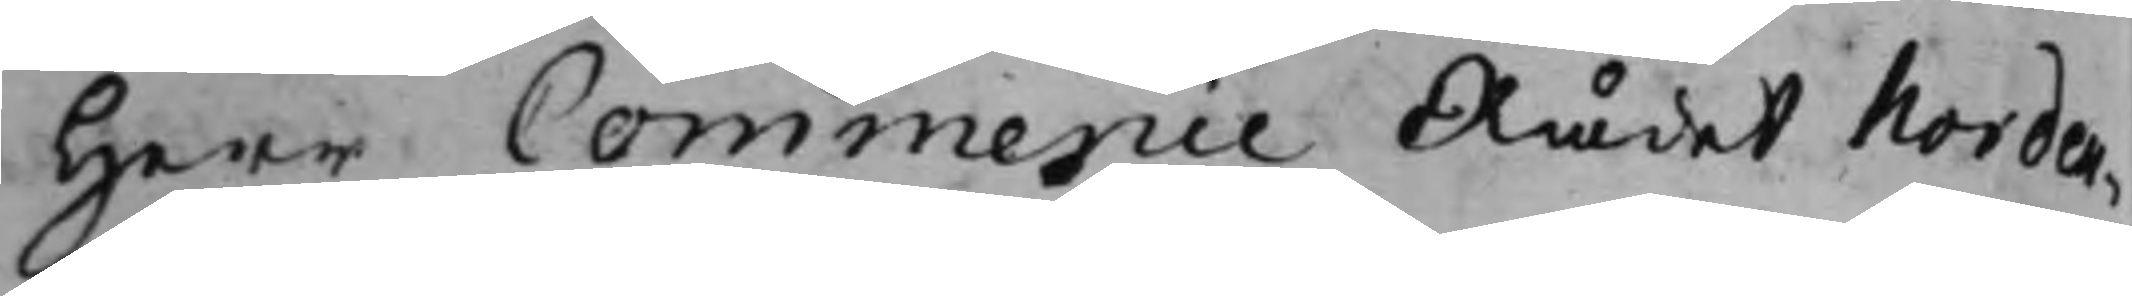Herr Commercie Rådet Norden¬
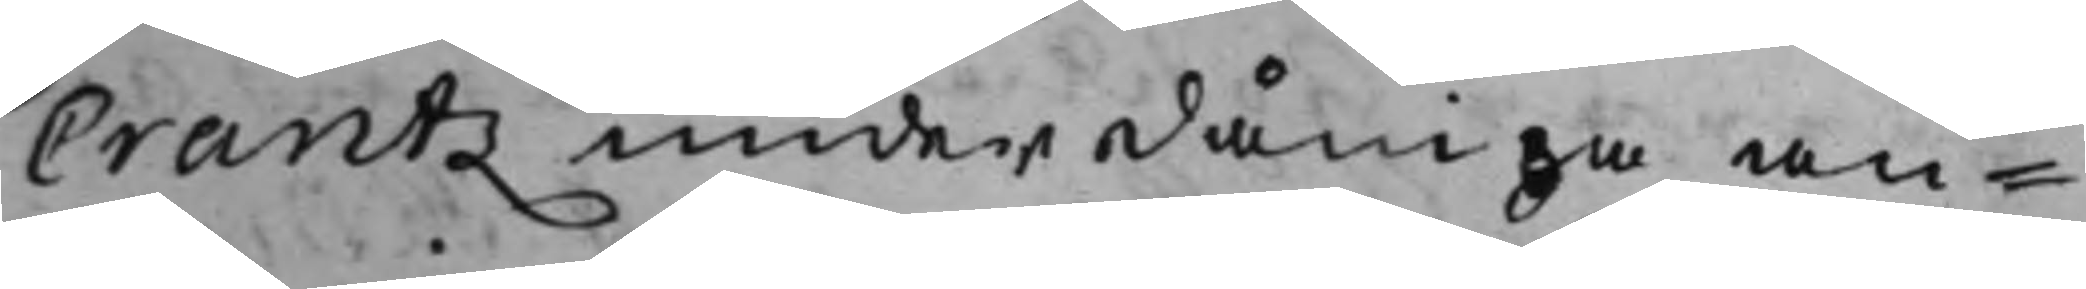Crantz underdåniga an¬
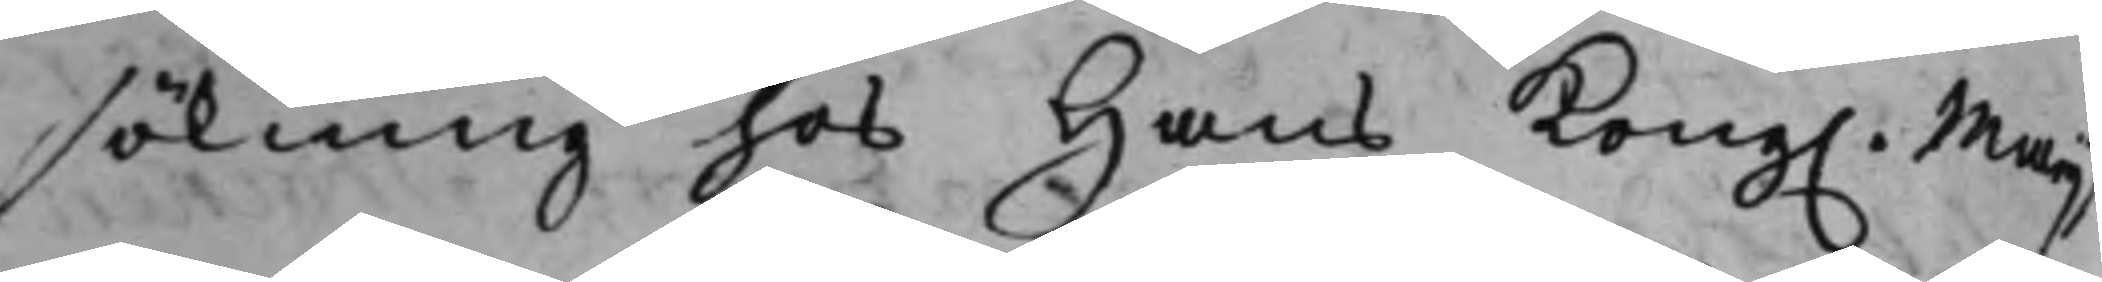sökning hos Hans Kong. Maijt,
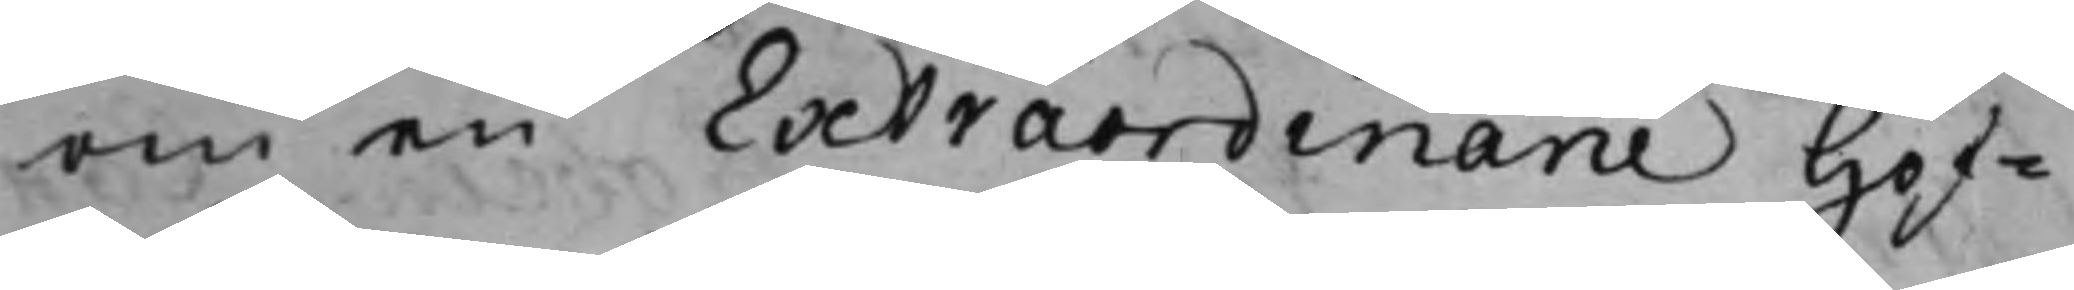om en Extraordinarie Hof¬
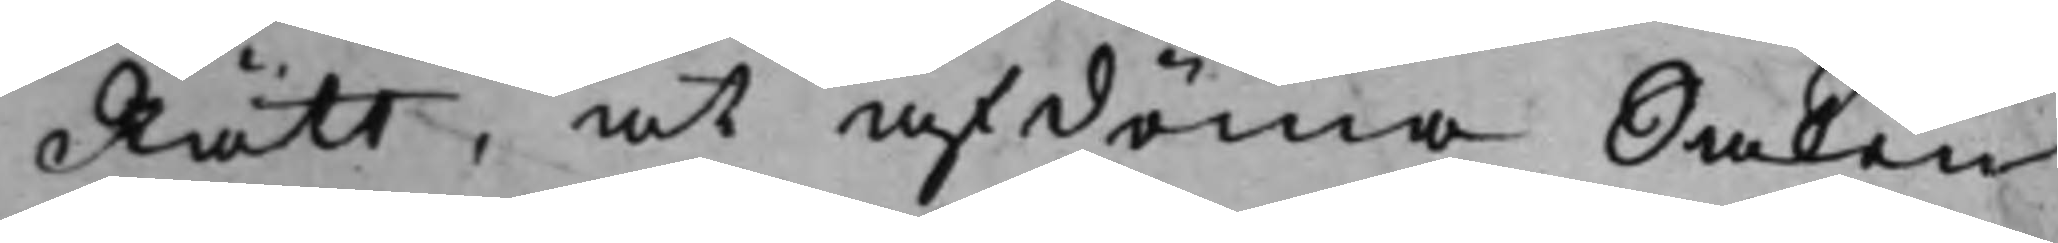Rätt, at afdöma Saken
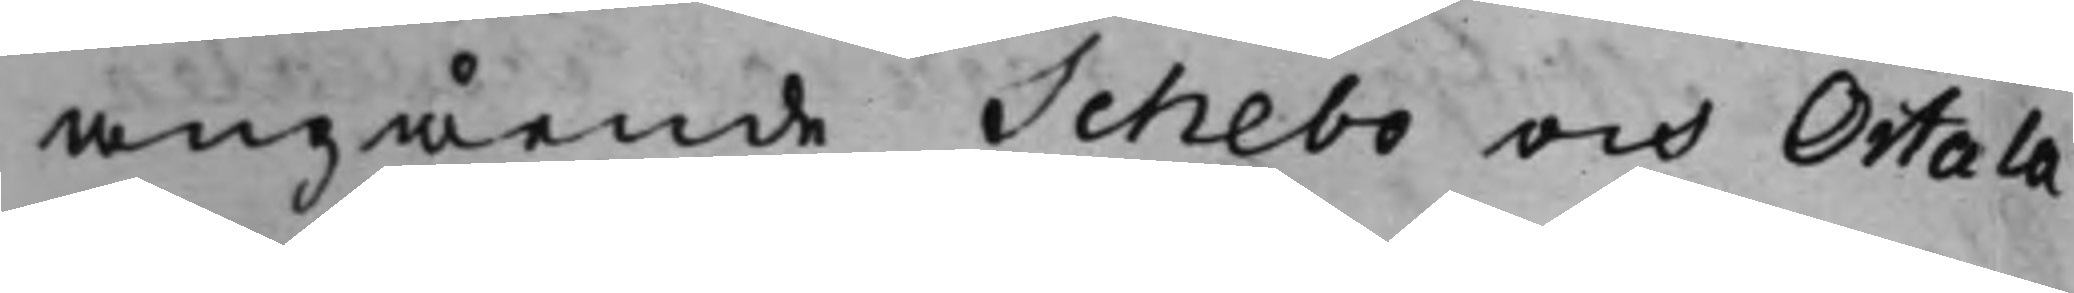angående Schebo och Ortala
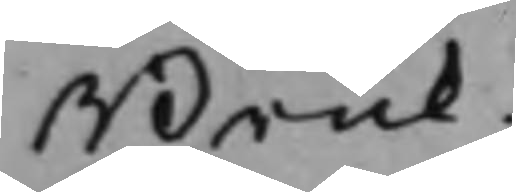Bruk.
